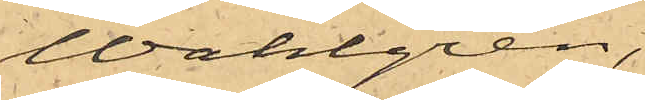Wahlgren,
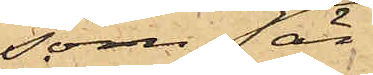som är
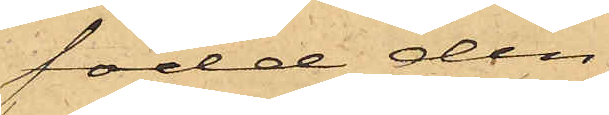född den
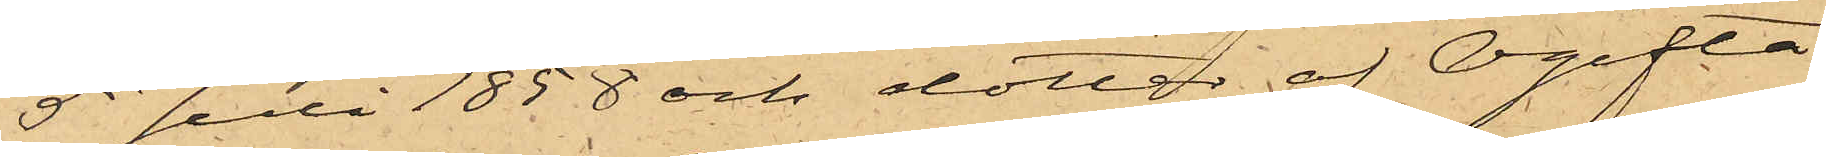5 Juli 1858 och dotter af Ogifta
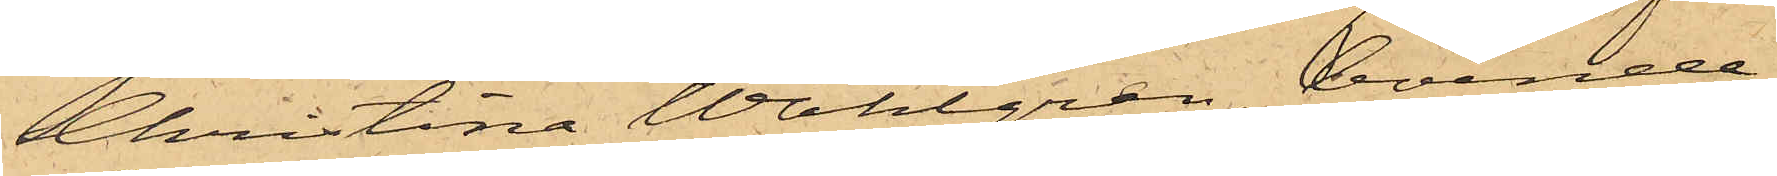Christina Wahlgren, boende
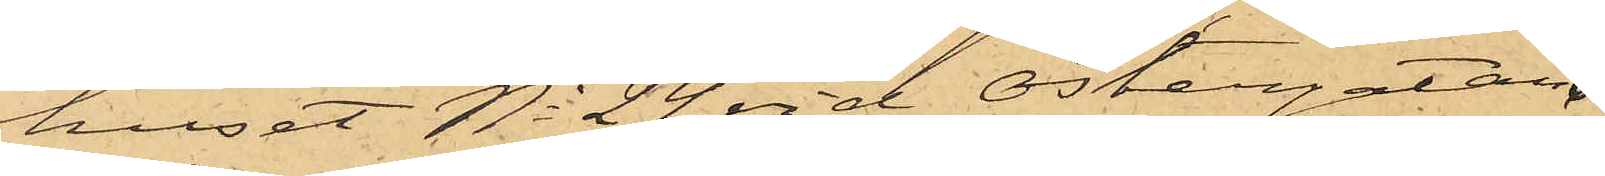huset No 24 vid Östergatan.
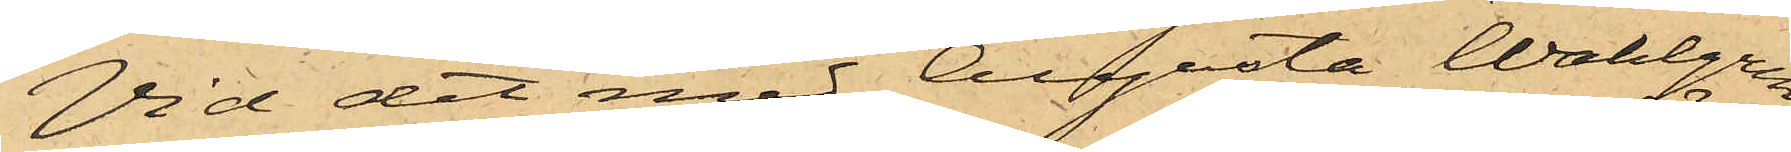Vid det med Augusta Wahlgren
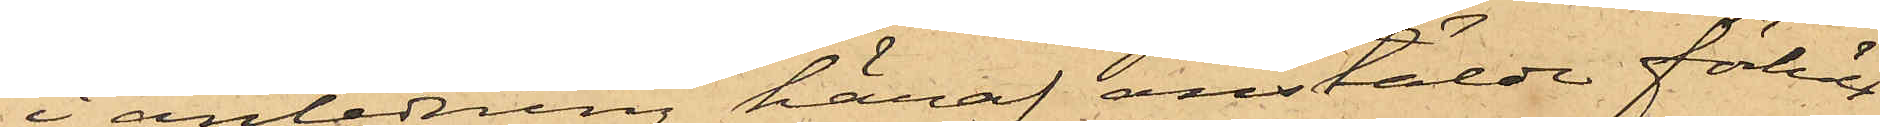i anledning häraf anstälde förhör
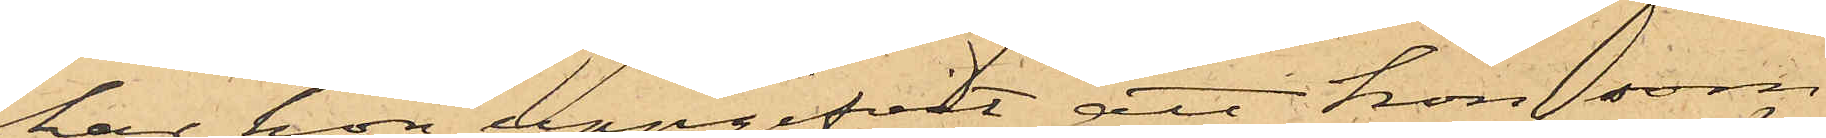har hon uppgifvit, att hon, som
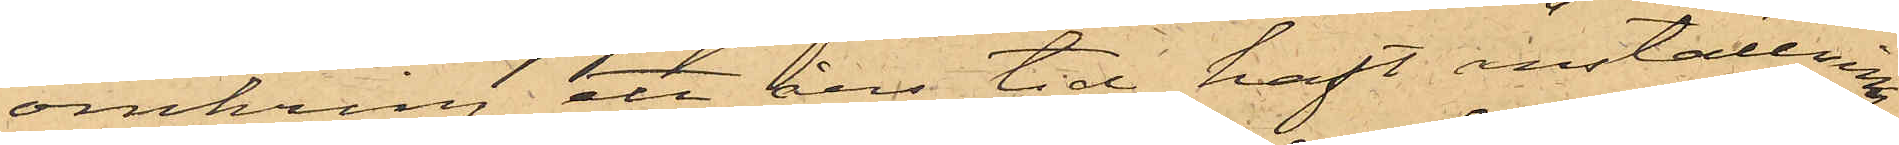omkring ett års tid haft anställning
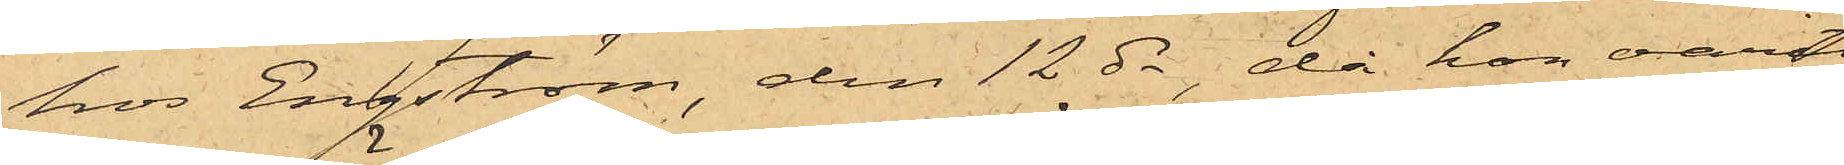hos Engström, den 12 ds, då hon varit
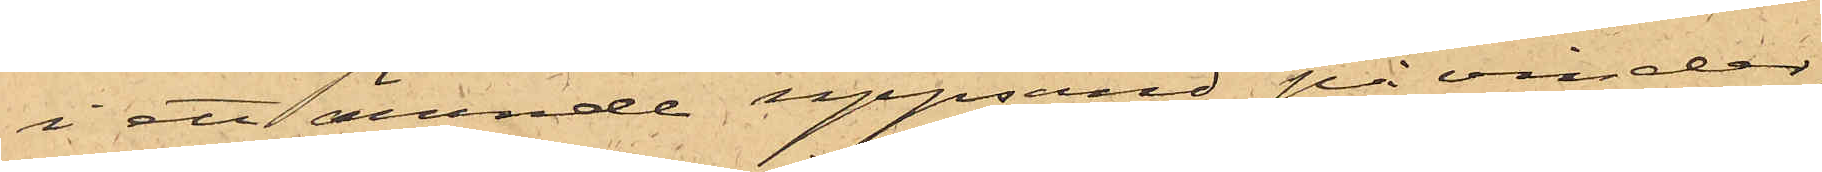i ett ärende uppsänd på vinden,
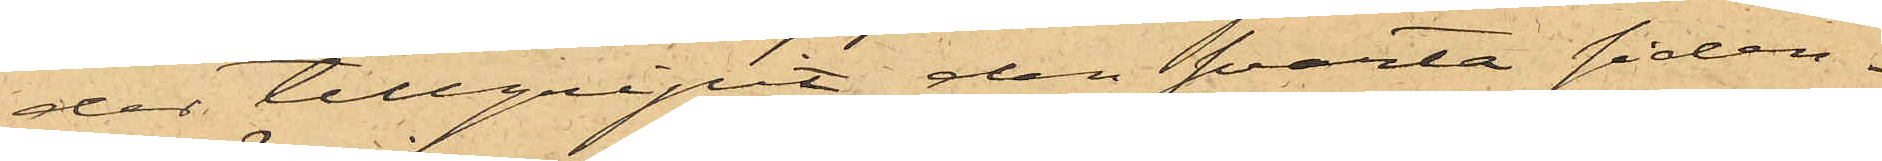der tillgripit den svarta siden¬
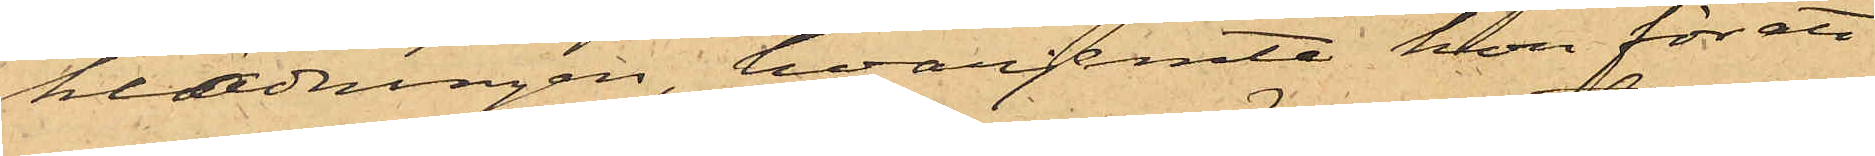klädningen, hvarjemte hon för ett
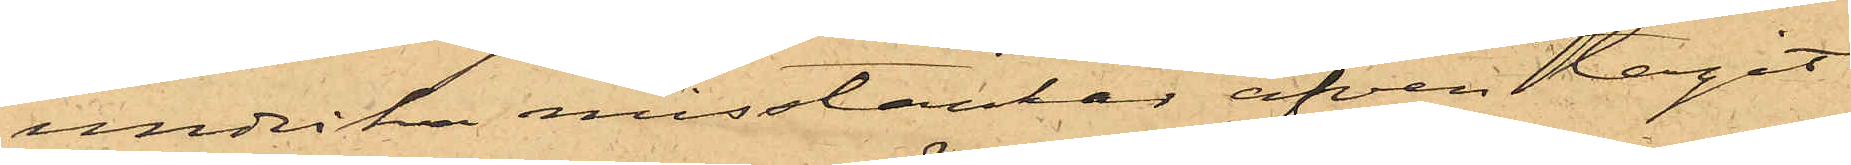undvika misstänkar äfven tagit
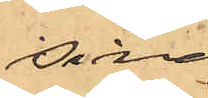sina
